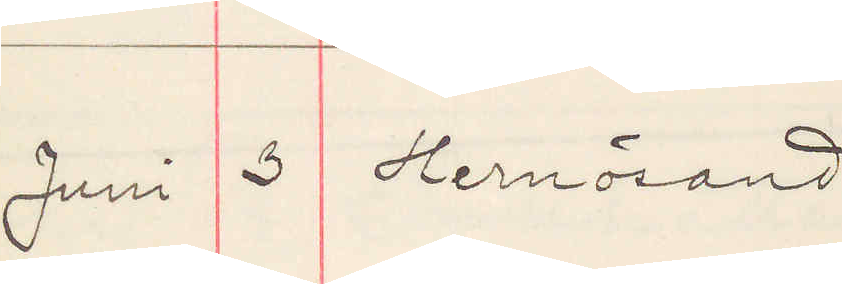Juni 3 Hernösand
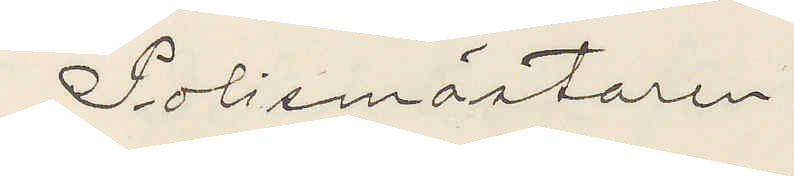Polismästaren
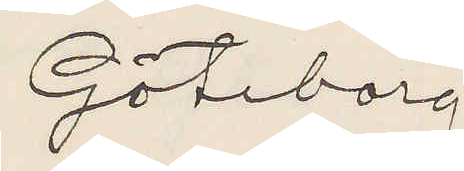Göteborg
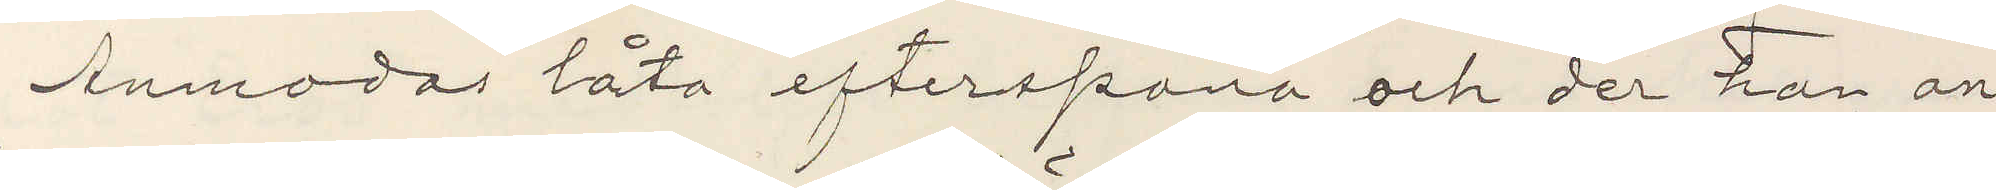Anmodas låta efterspana och der han an¬
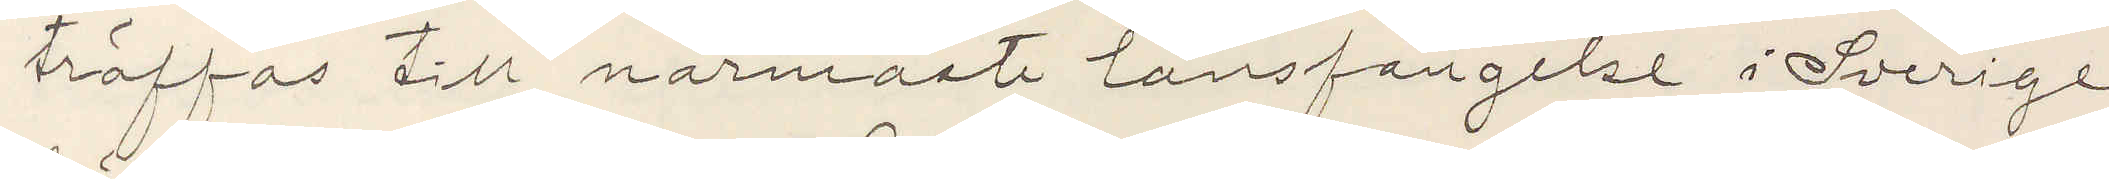träffas till närmaste länsfängelse i Sverige
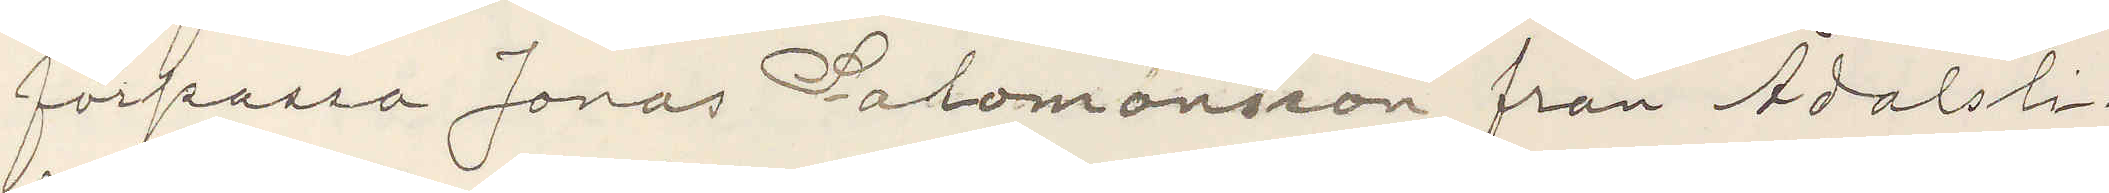förpassa Jonas Salomonsson från Ådalsli¬
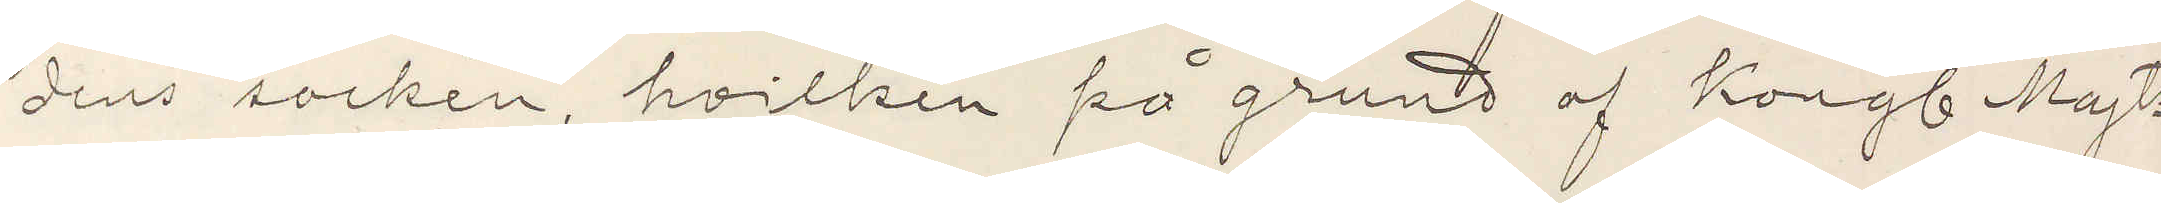dens socken, hvilken på grund af Kongl Majts
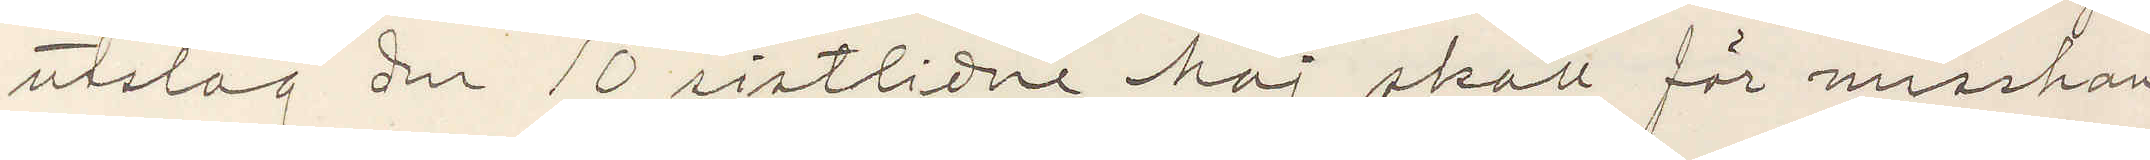utslag den 10 sistlidne Maj skall för misshan¬
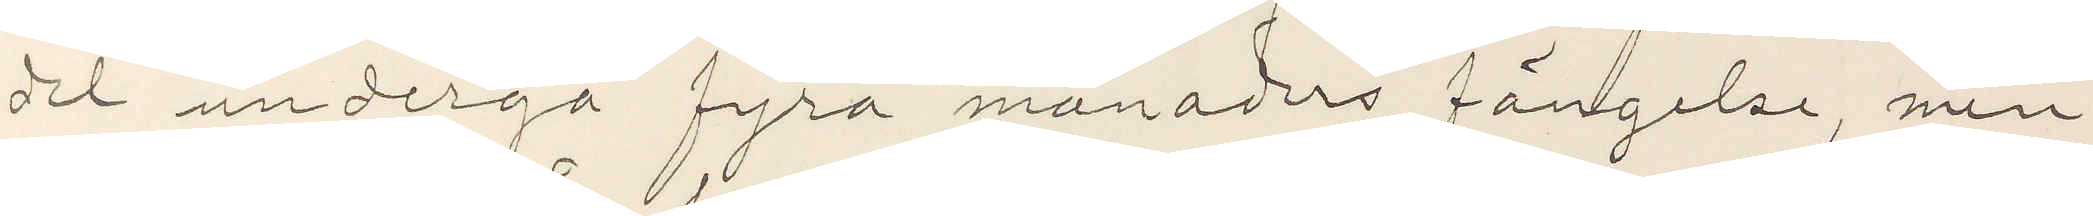del undergå fyra månaders fängelser, men
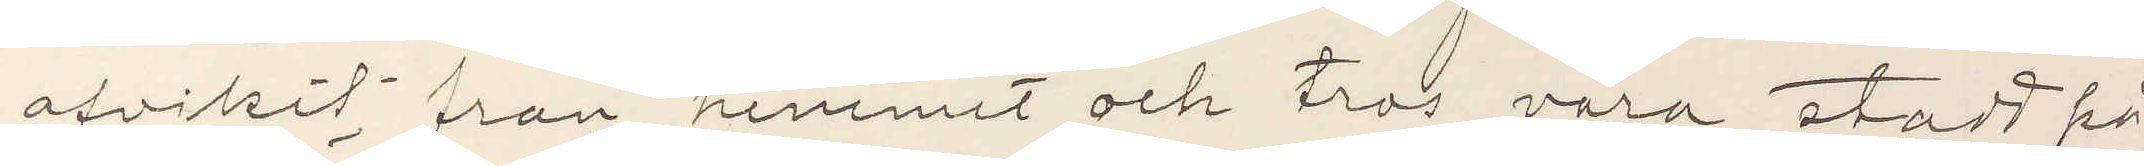afvikit från hemmet och tros vara stadt på
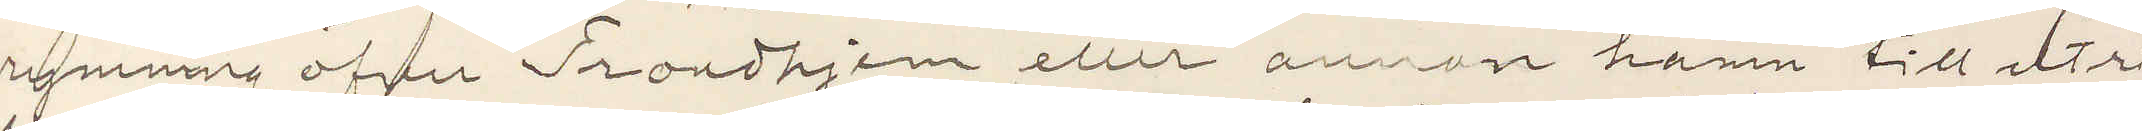rymning öfver Trondhjem eller annan hamn till utri¬
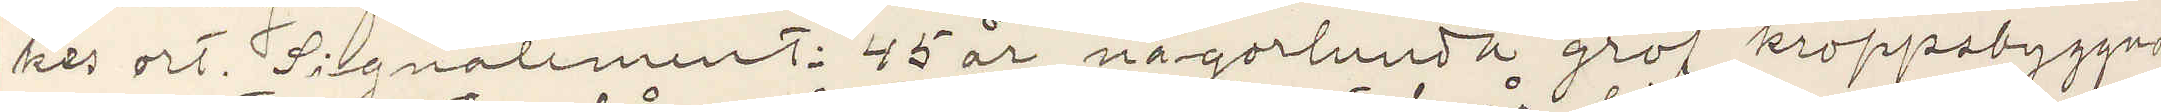kes ort. Signalement: 45 år, någorlunda grof kroppsbyggnad
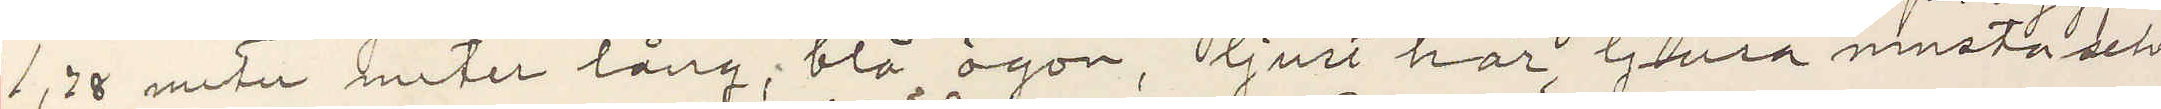1,78 meter lång; blå ögon, ljust hår, ljusa mustascher
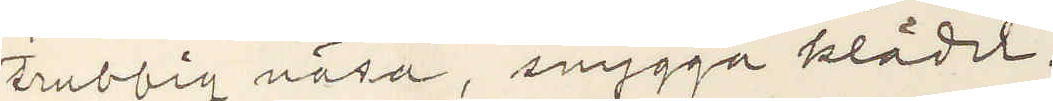trubbig näsa, snygga kläder.
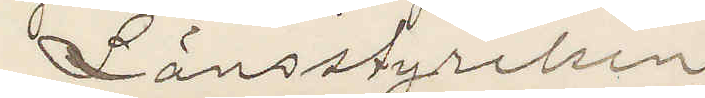Länsstyrelsen.
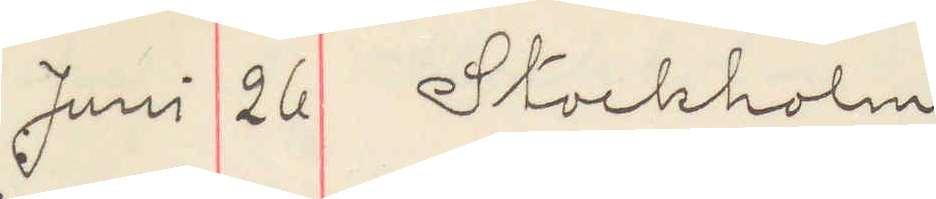Juni 26 Stockholm
